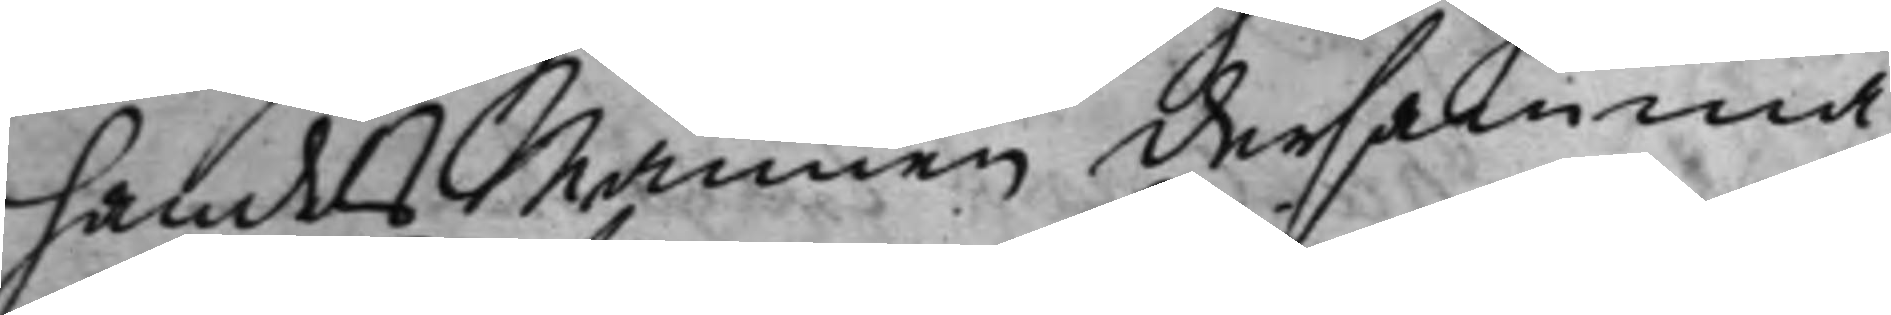handels Mannen dersamma¬
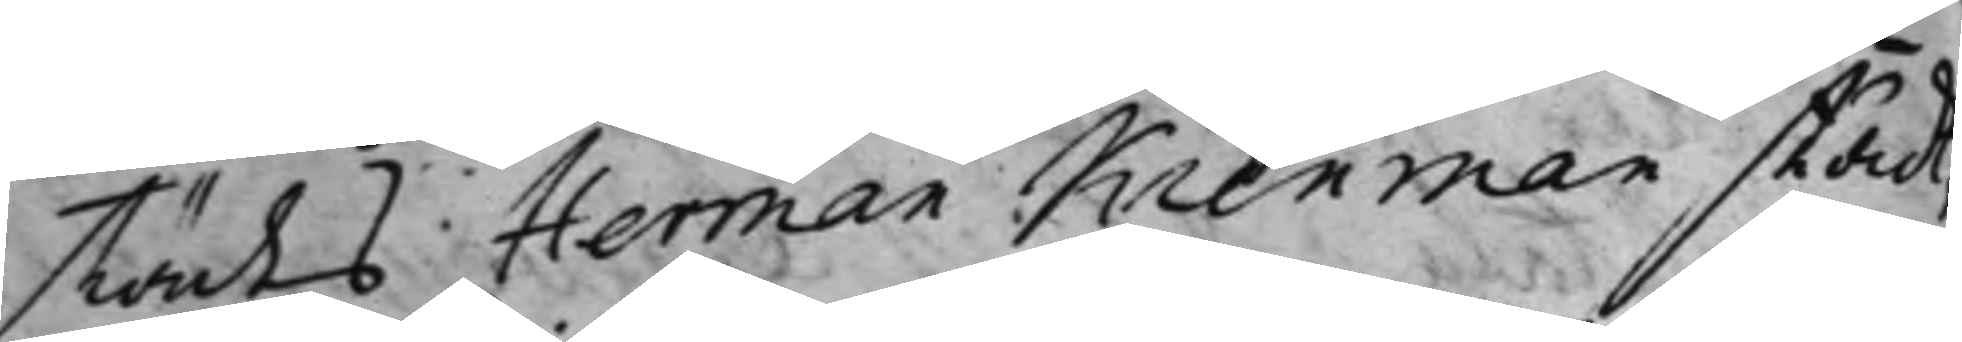städes Herman Kienman stådt,
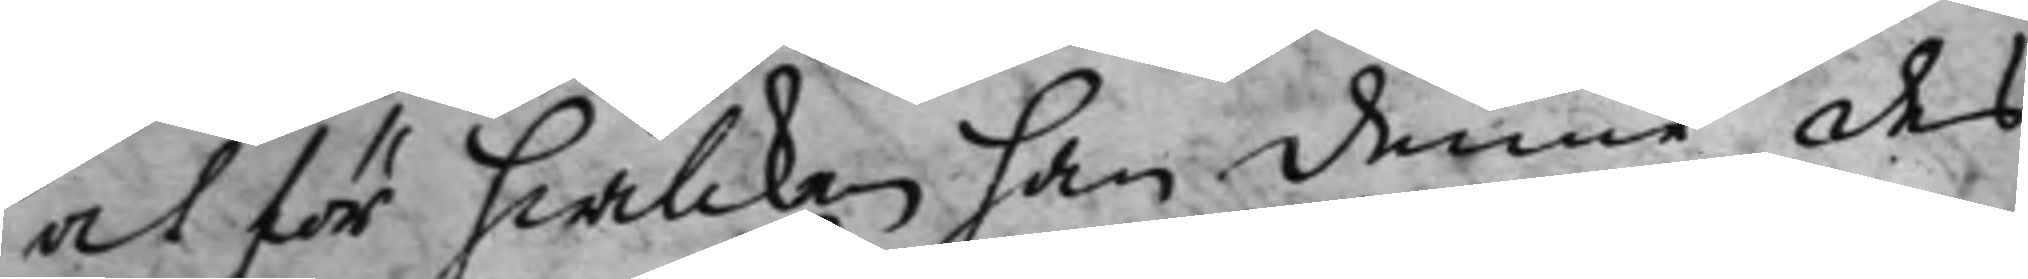och för hwilcken han denne des
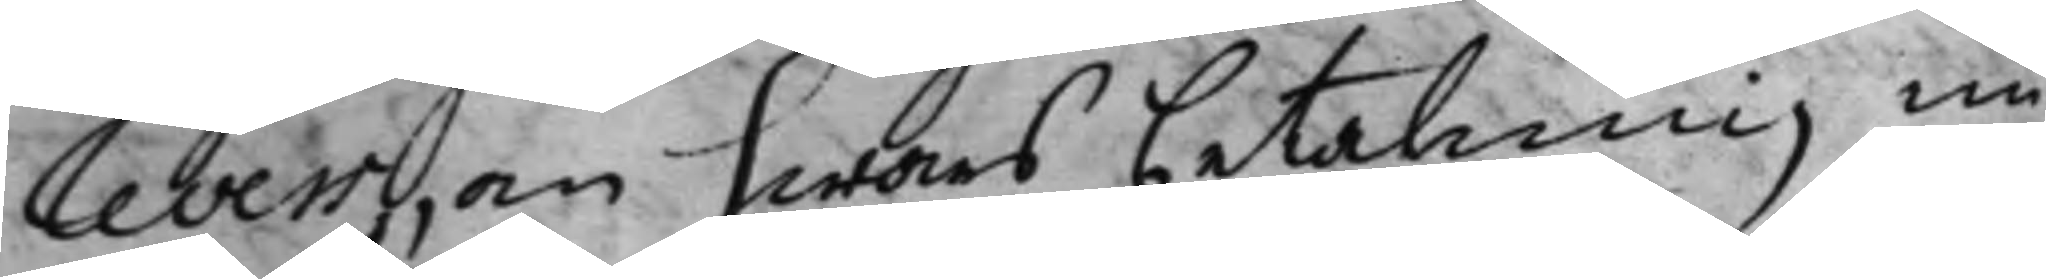revers, om hwars betalning nu
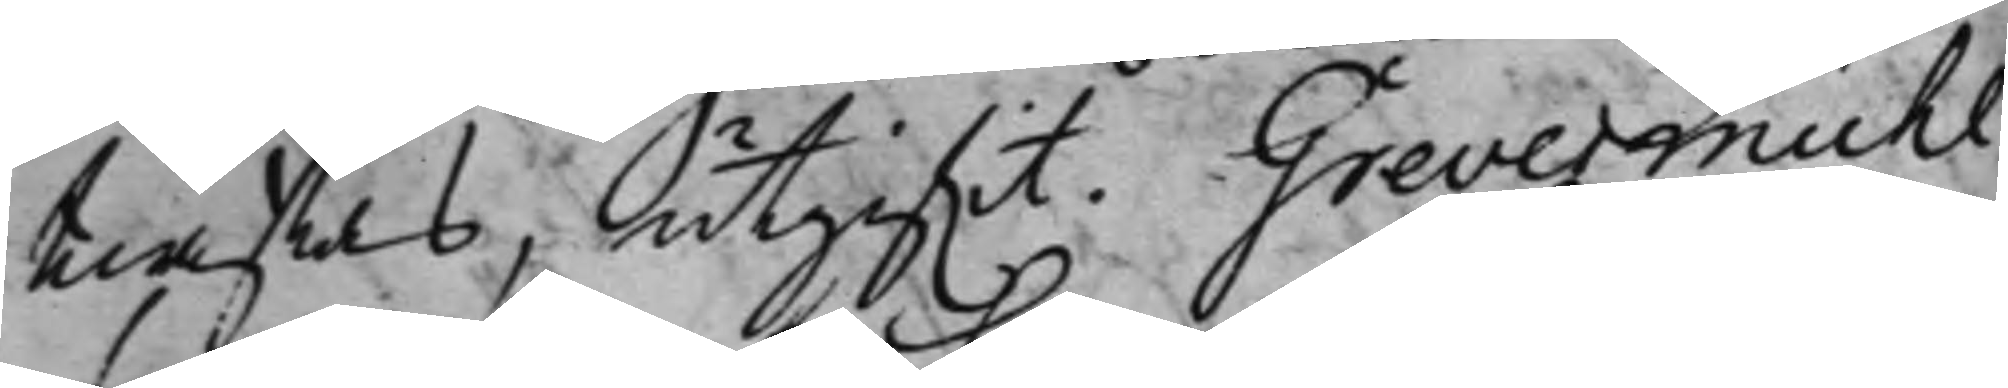twistas, utgifwit. Grevesmühl
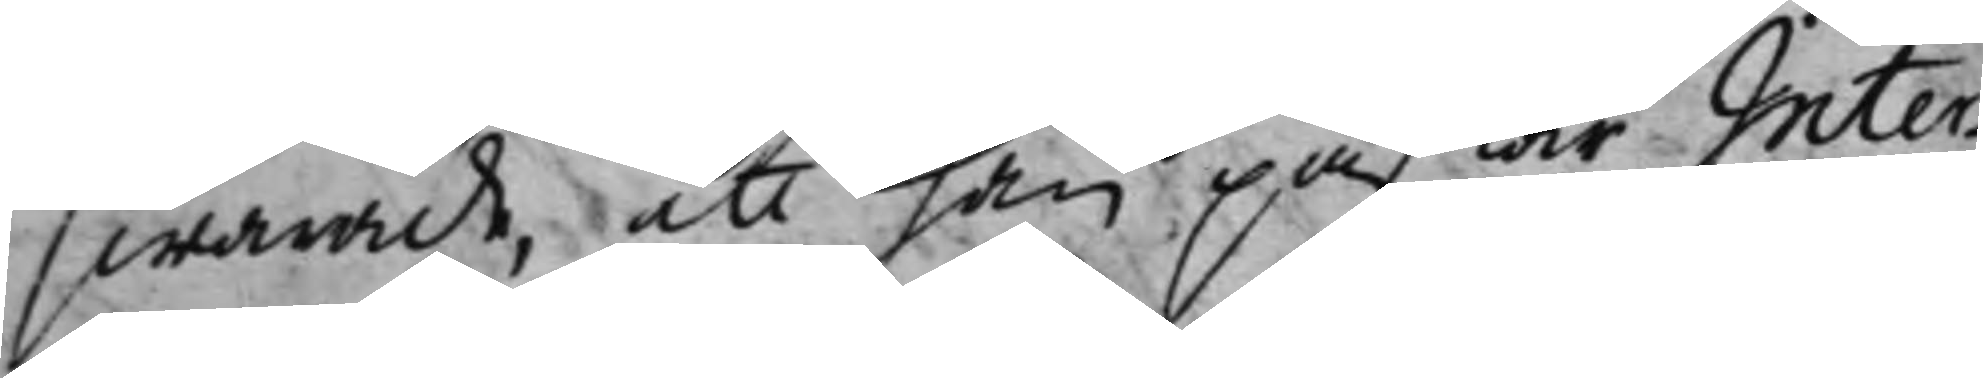swarade, att han påstår Inter¬
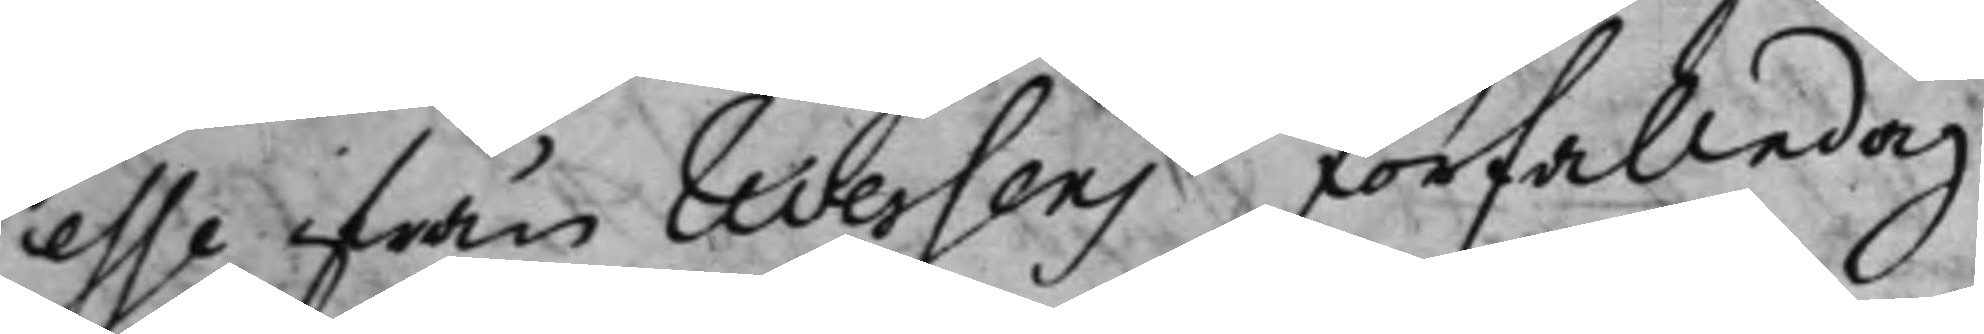esse ifrån reversens förfallodag,
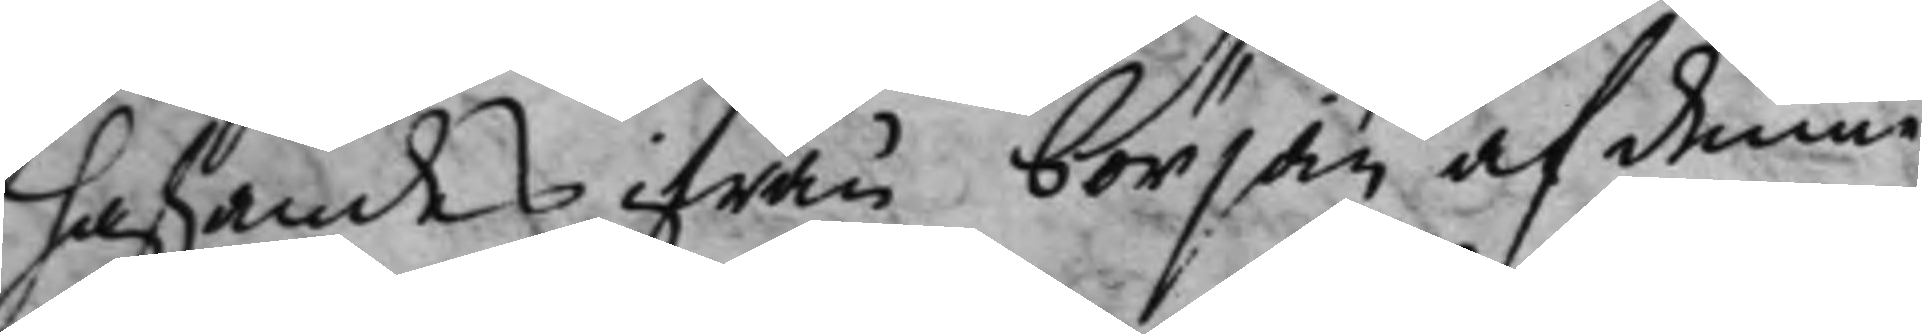hafwandes ifrån början af denne
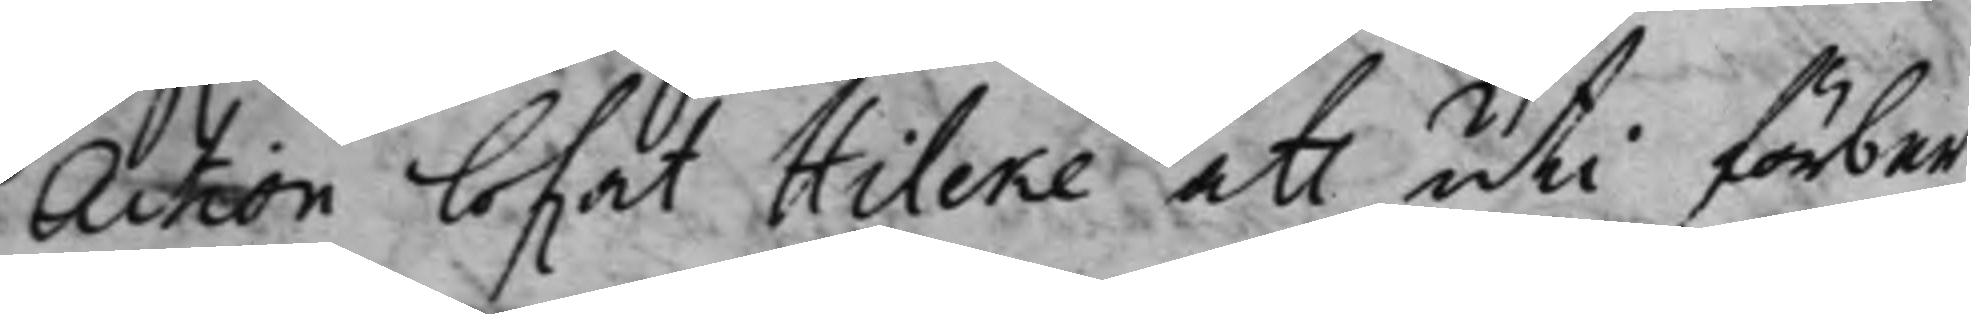Action lofwat Hilcke att uti förbemt
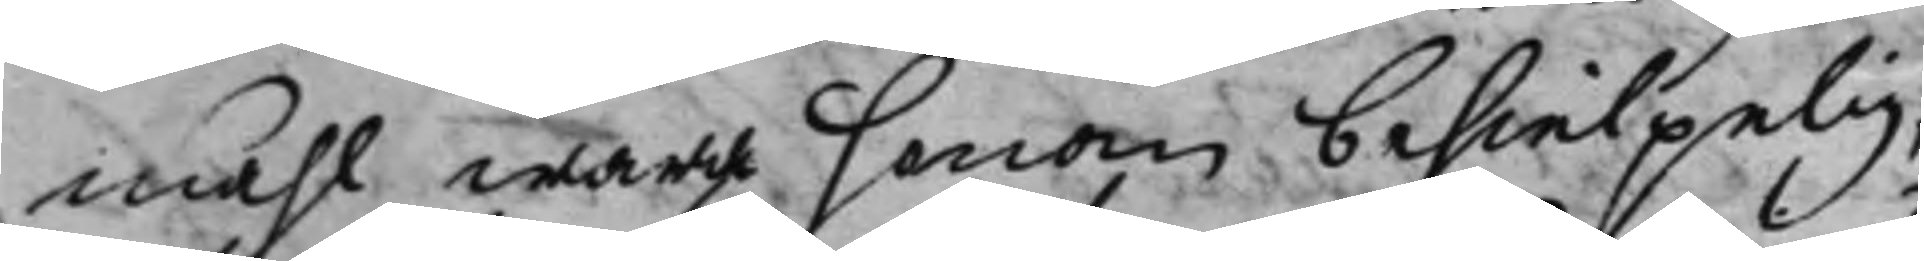måhl wara honom behielpelig,
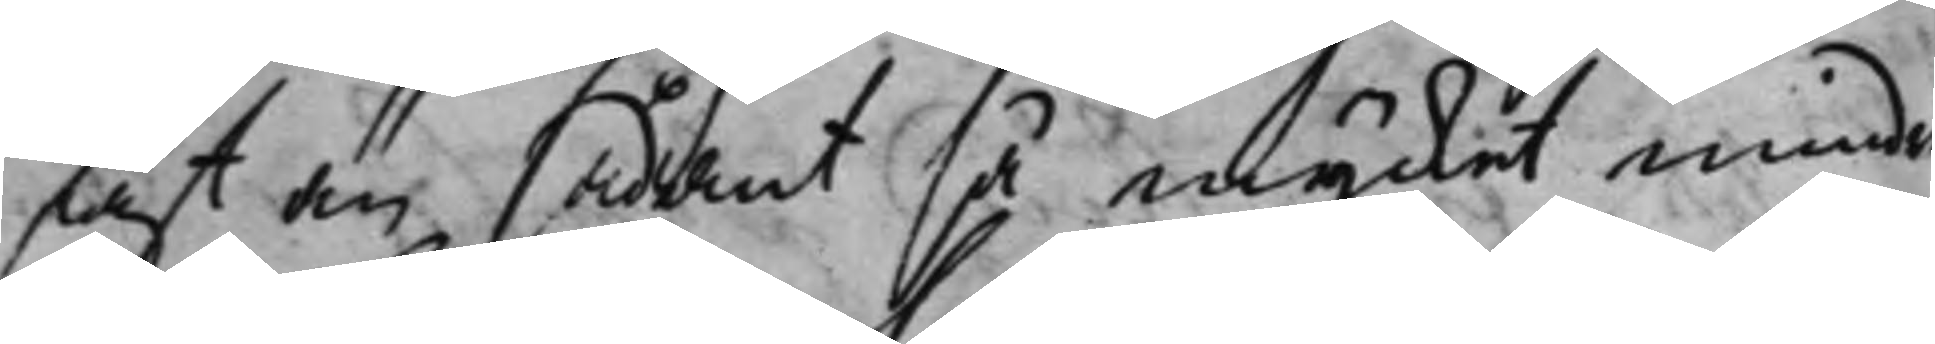fast än sådant så mycket mindre
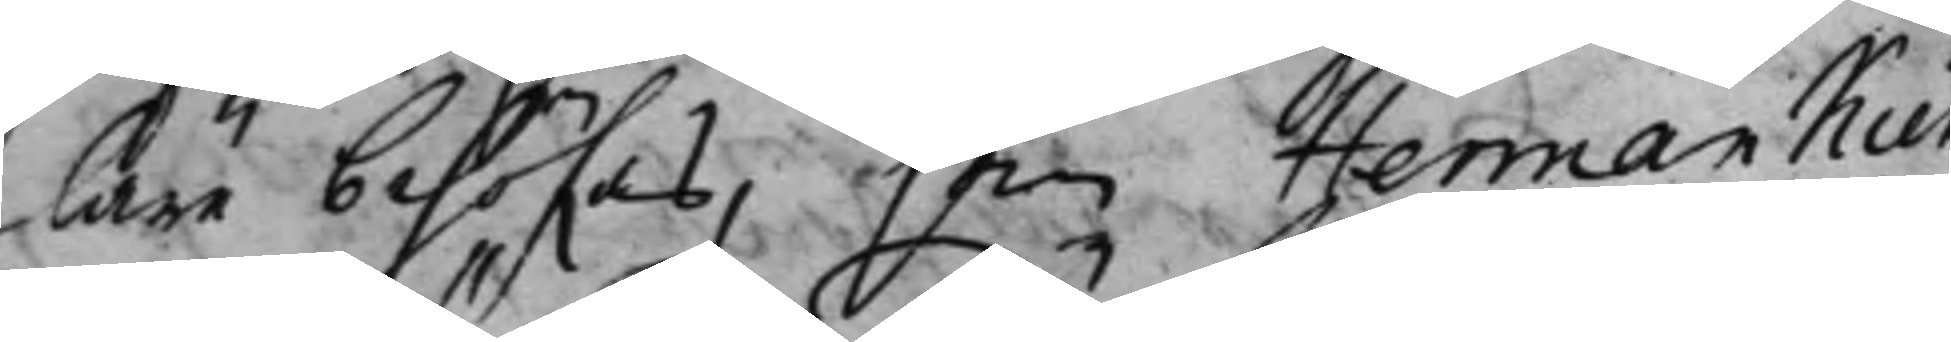läre behöfwas, som Herman Kie¬
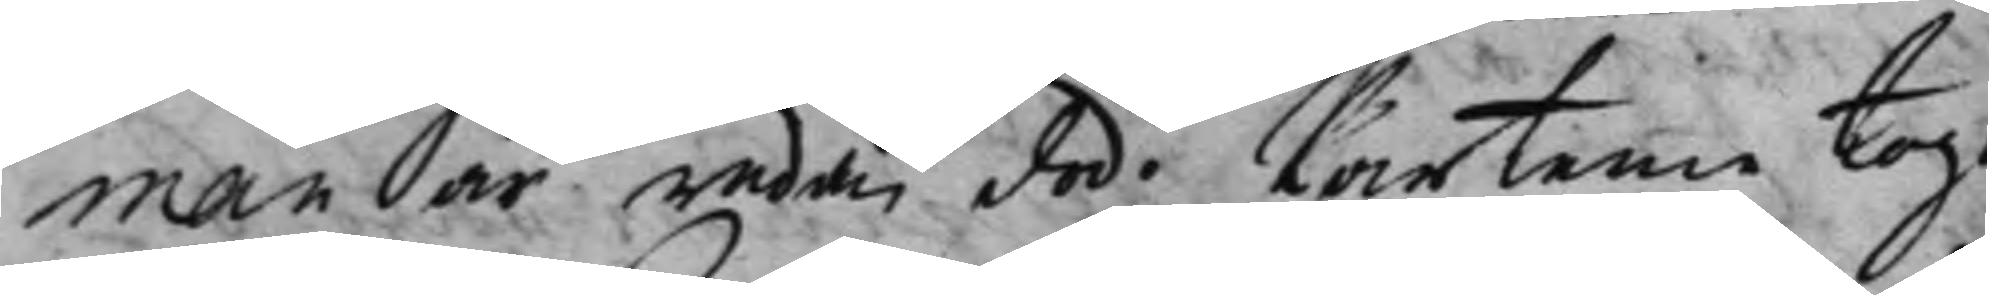man är redan död. Parterne togo
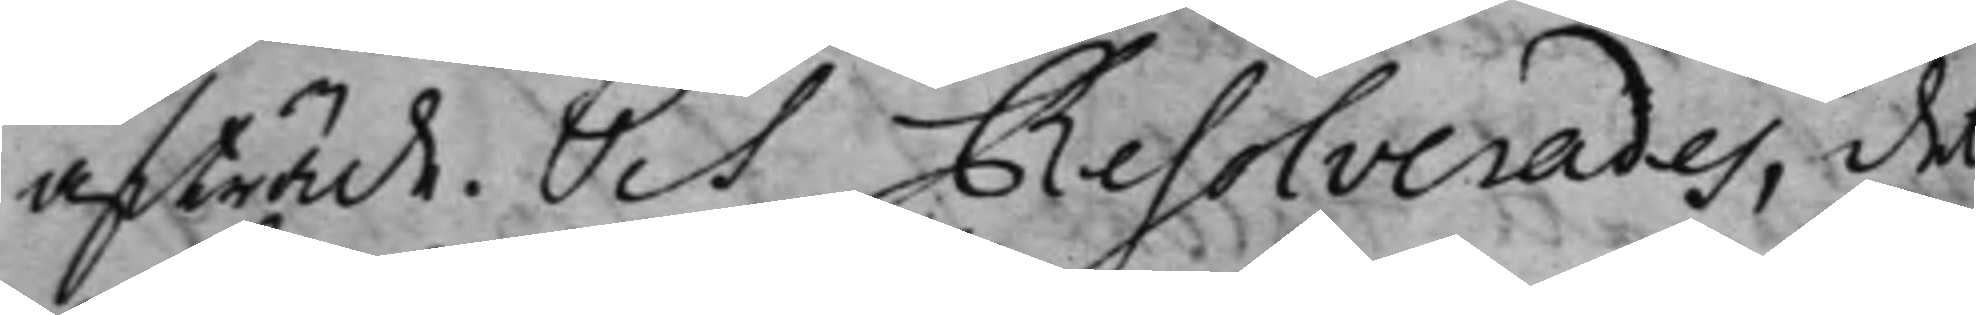afträde. Och Resolverades, det
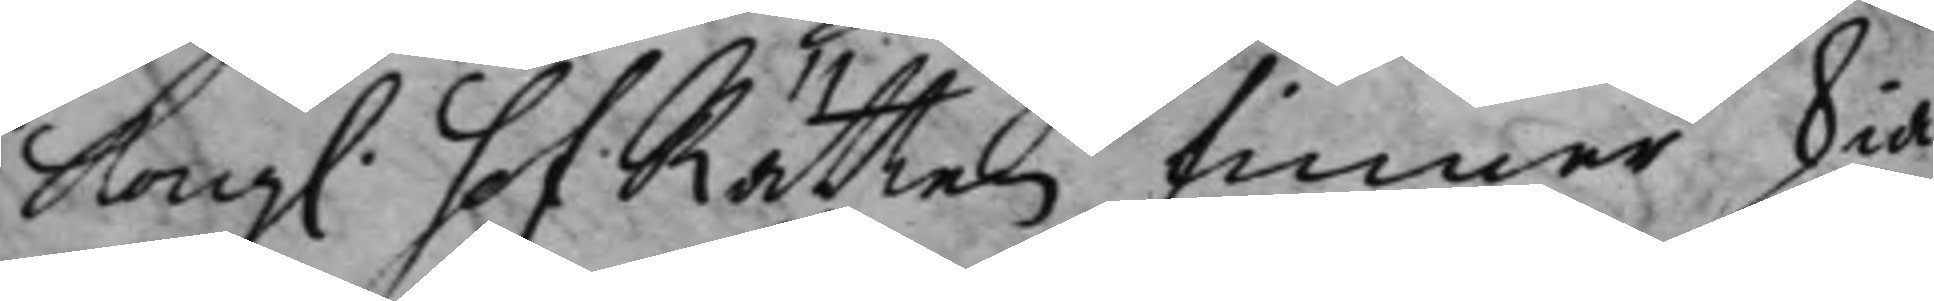Kong. HofRätten finner Skiä¬
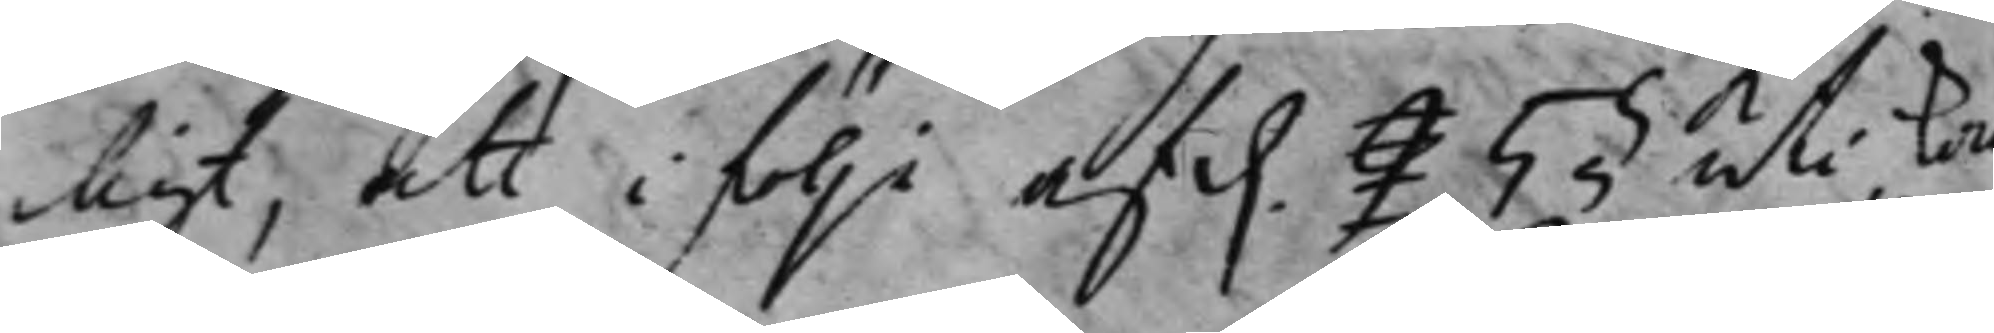ligt, att i följe af d. 9 5 § uti Kong
